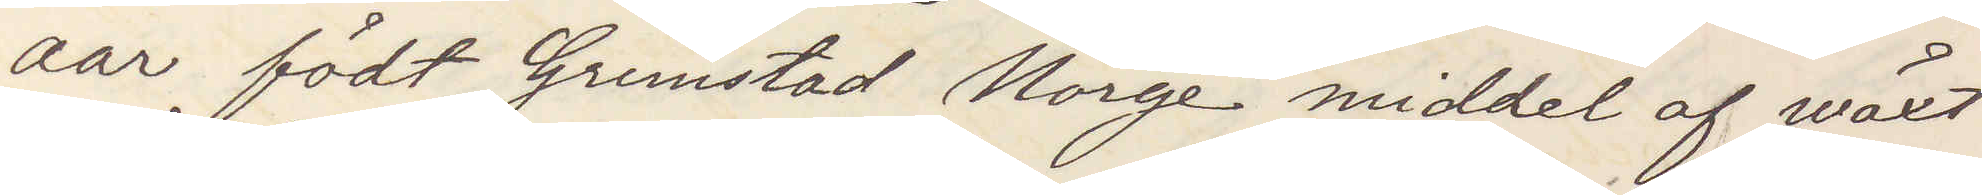aar födt Grimstad Norge middel af wäxt
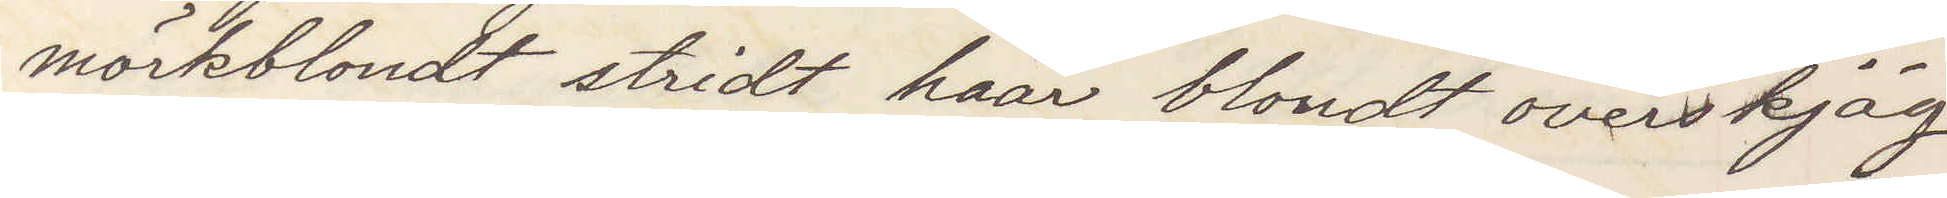mörkblondt stridt haar blondt overskjäg
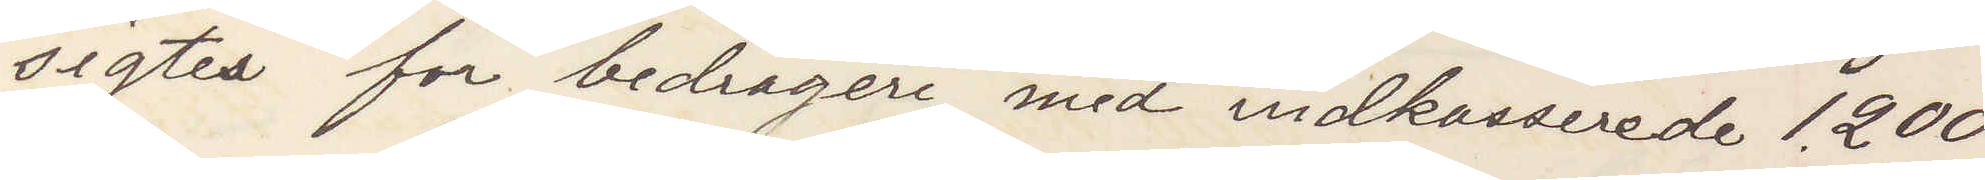sigtes for bedrageri med indkasserede 1.200
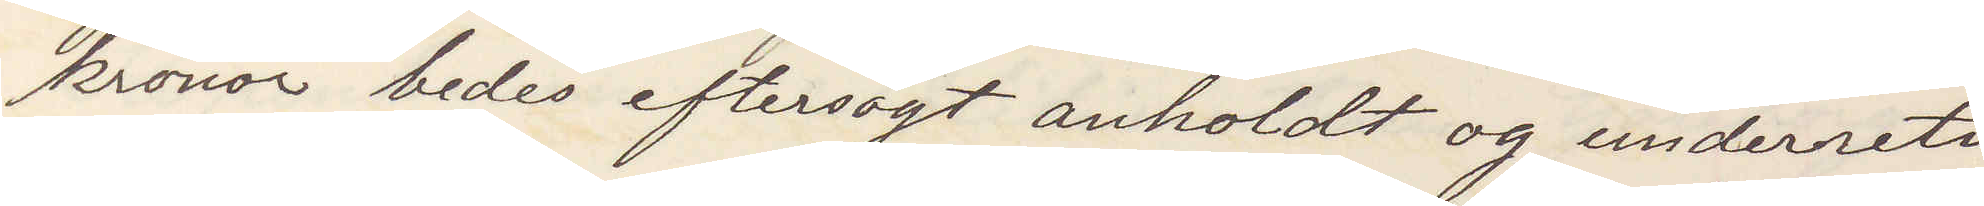kronor bedes eftersögt anholdt og underretes
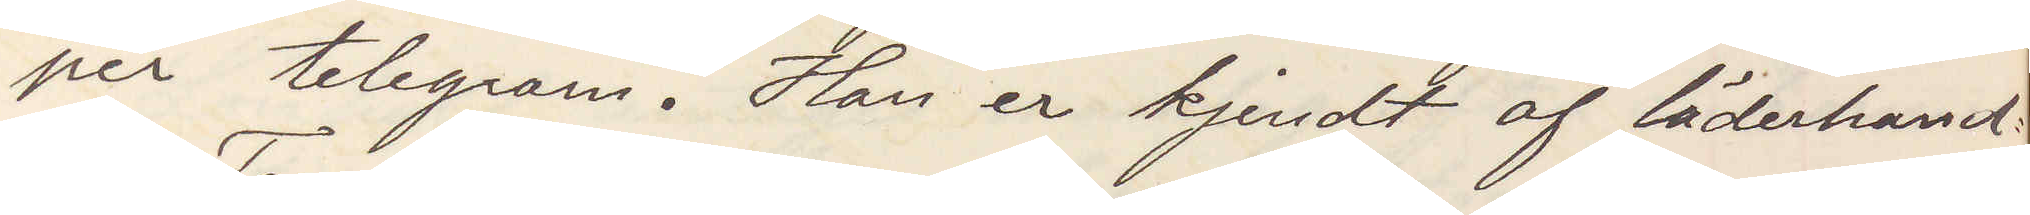per telegram. Han er kjendt af läderhand¬
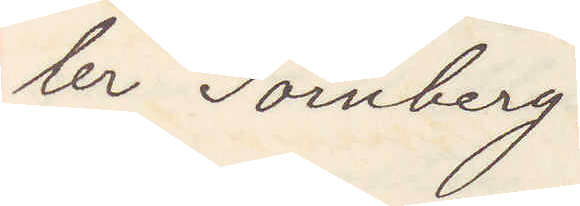ler Tornberg.
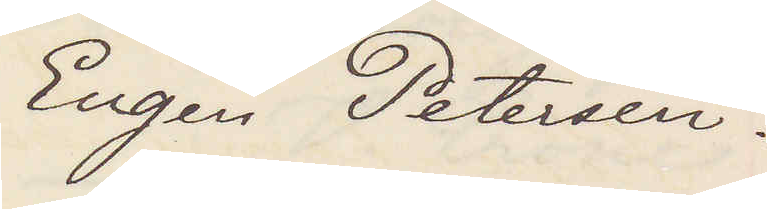Eugen Petersen.
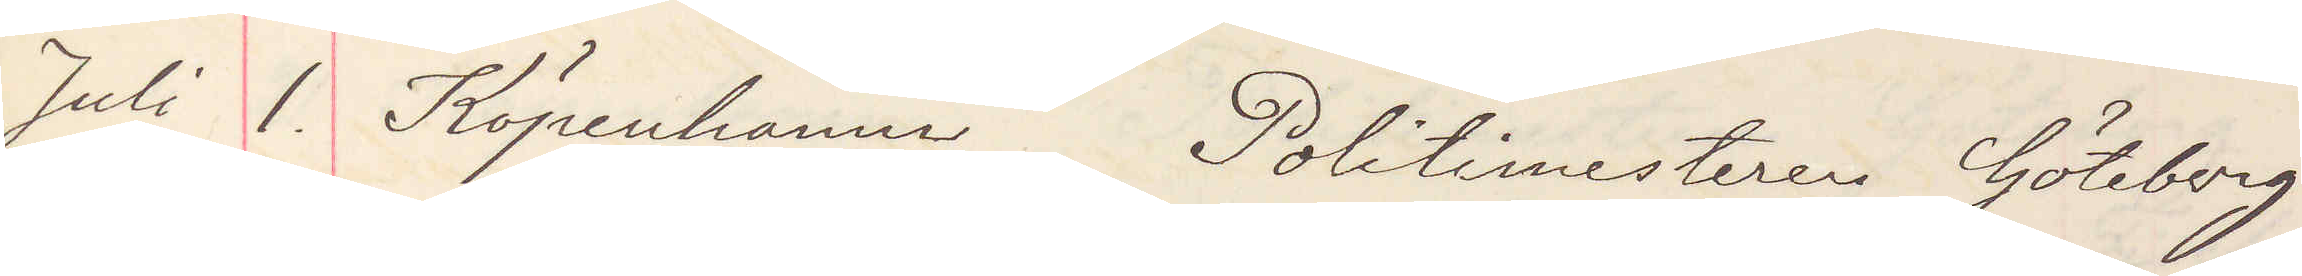Juli 1. Köpenhamn Politimesteren Göteborg
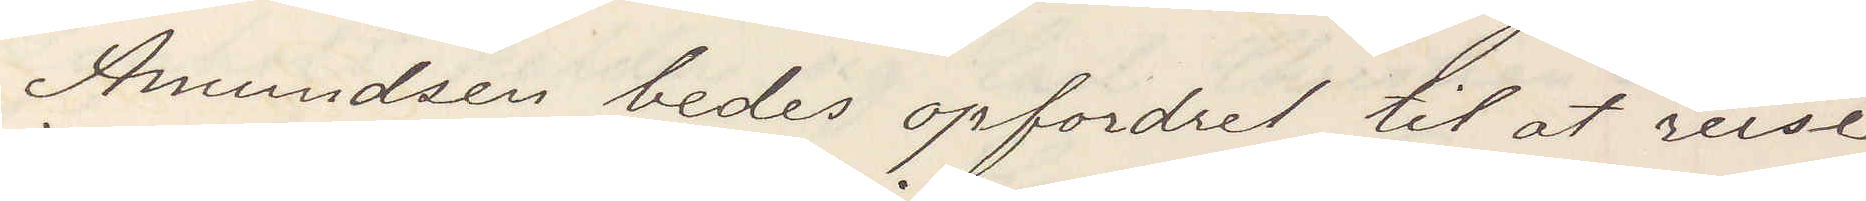Amundsen bedes opfordret til at reise
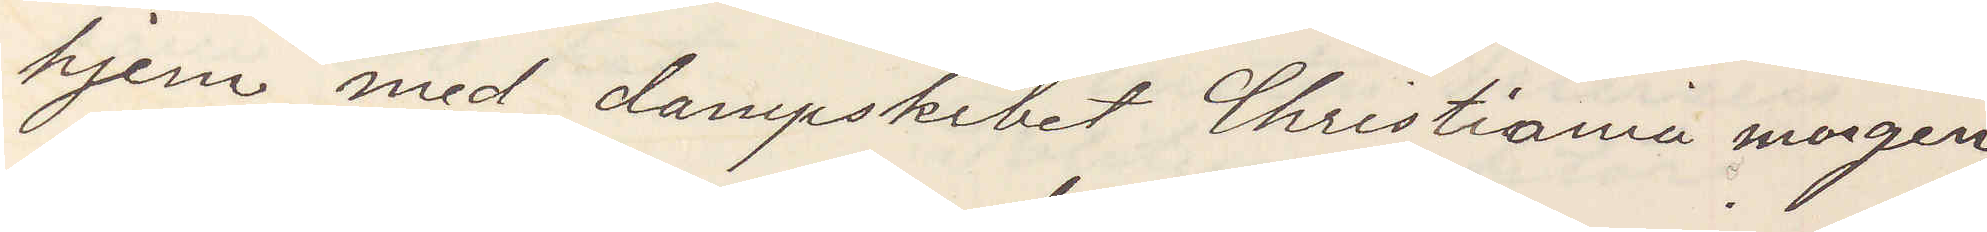hjem med dampskibet Christiania morgen,
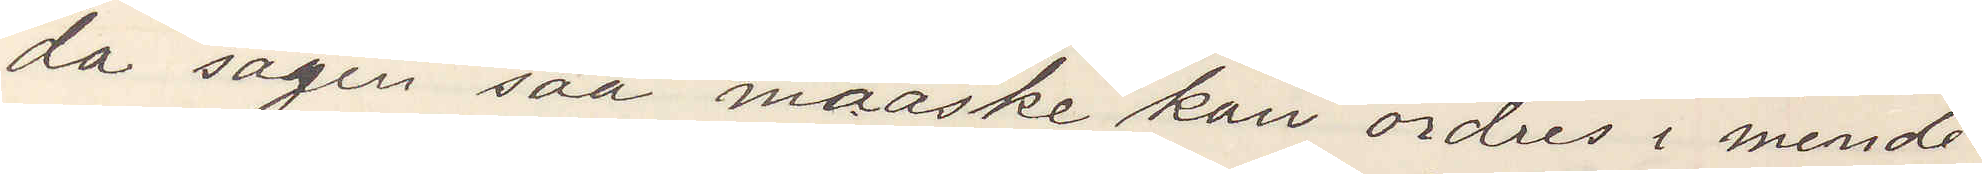da sagen maaske kan ordres i mende¬
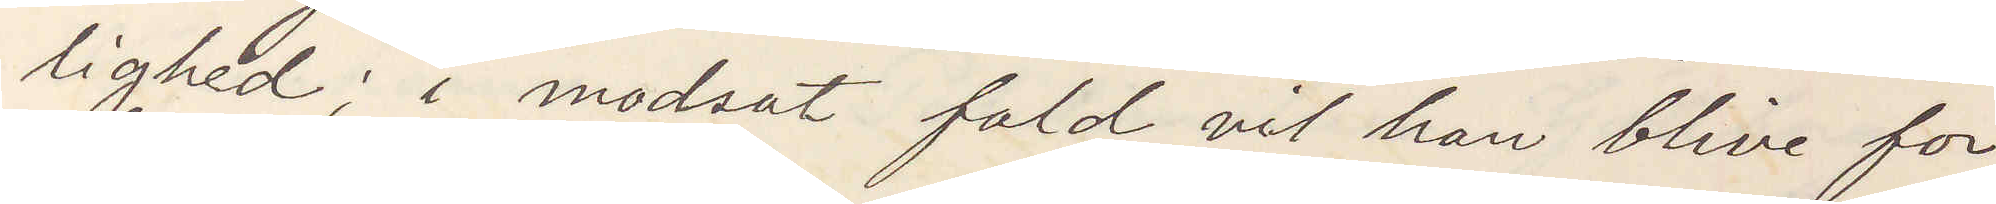lighed; i modsat fald vil han blive for¬
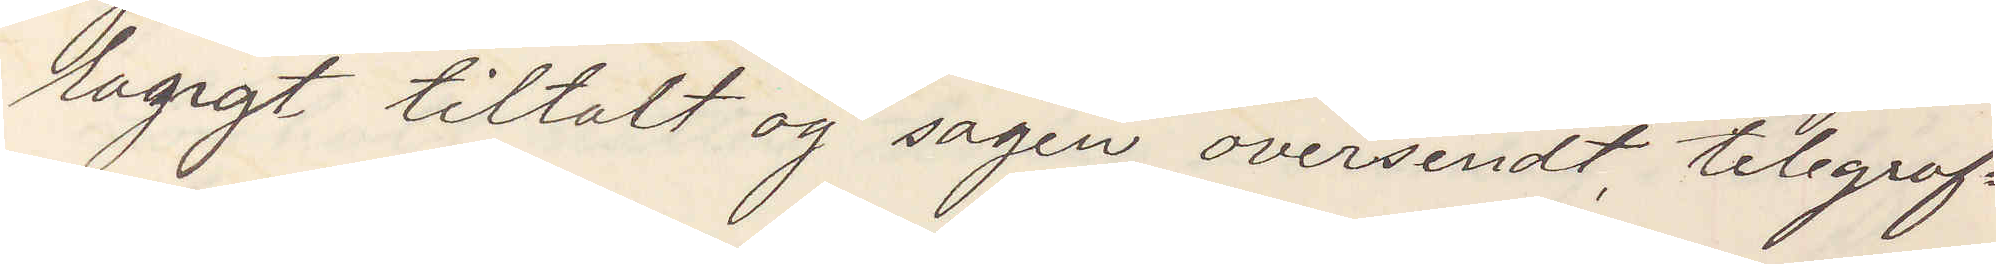lagligt tiltalt og sagen oversendt, telegraf¬
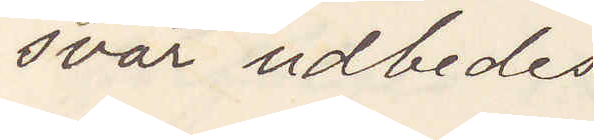svar udbedes
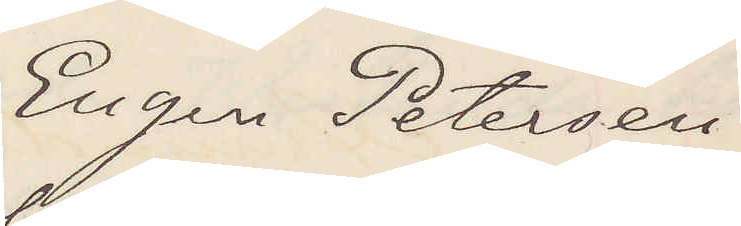Eugen Petersen
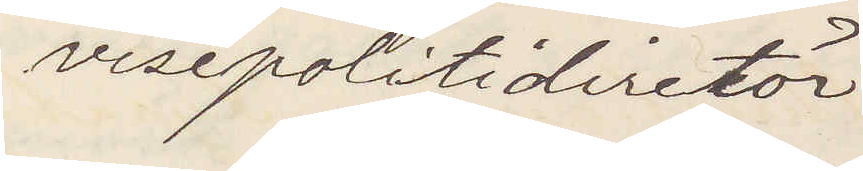visepolitidirectör
